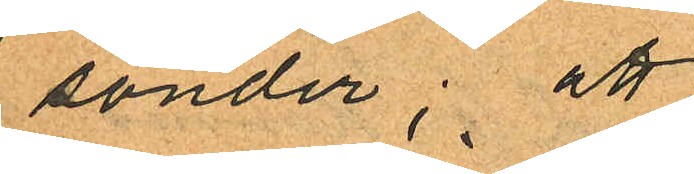sönder; att
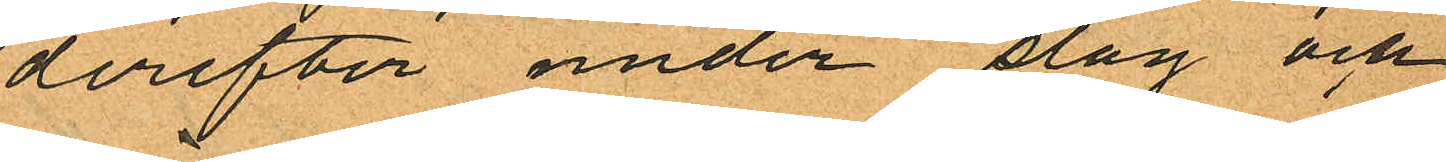derefter under slag och
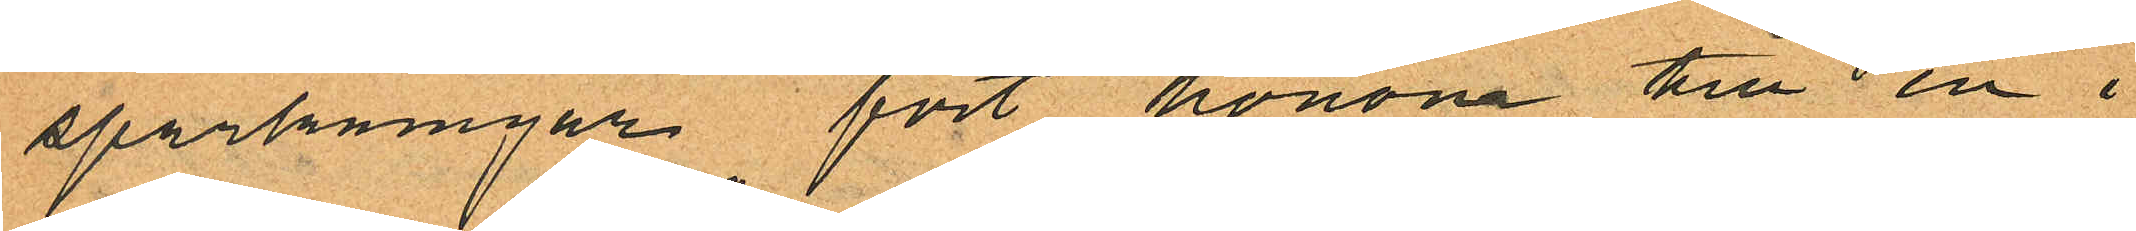sparkningar fört honom till en i
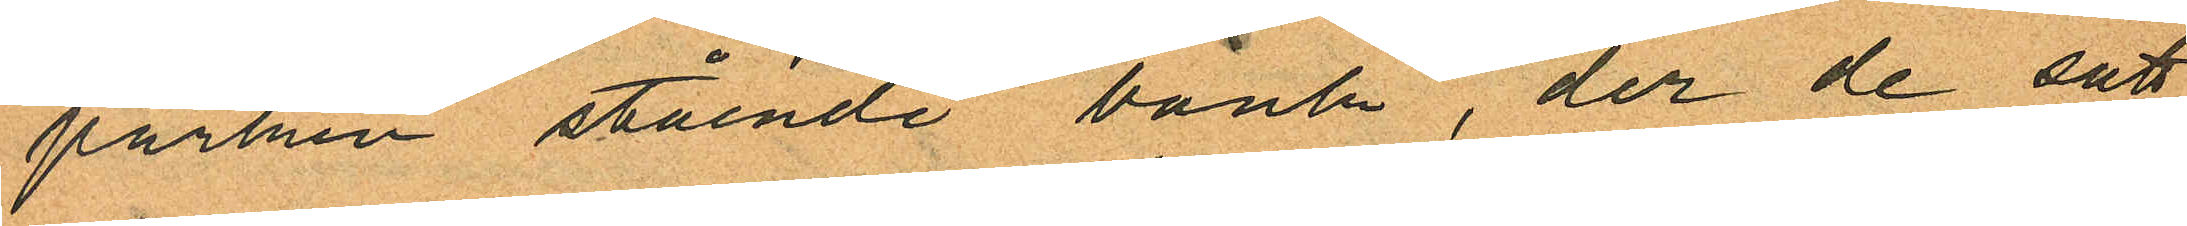parken stående bänk, der de satt
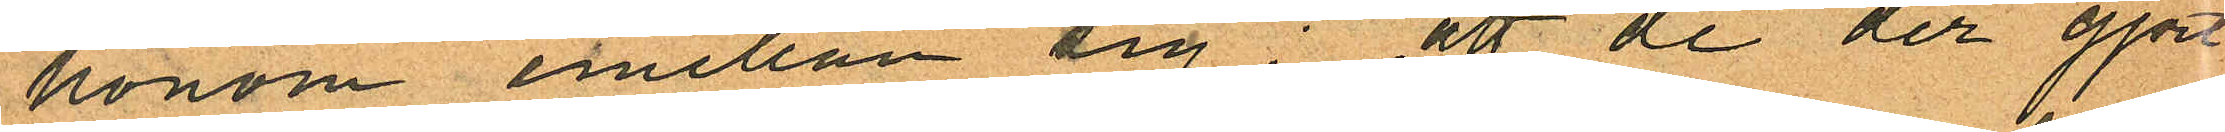honom emellan sig; att de der gjort
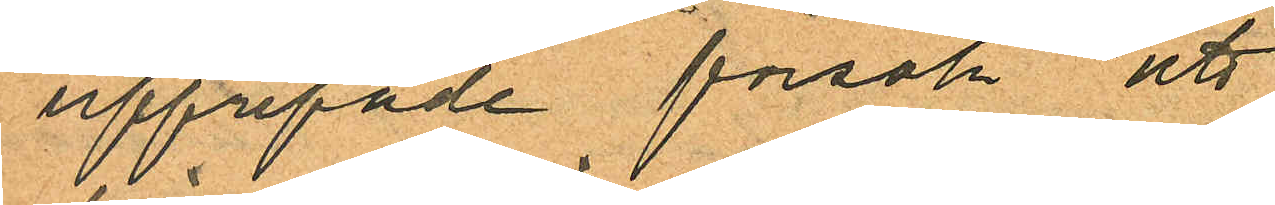upprepade försök att
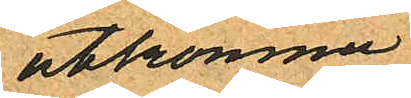åtkomma
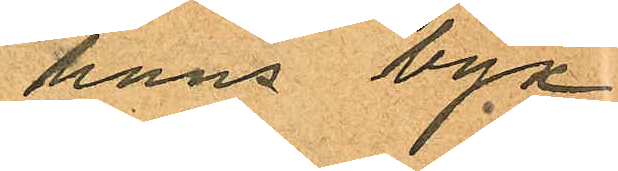hans byx¬
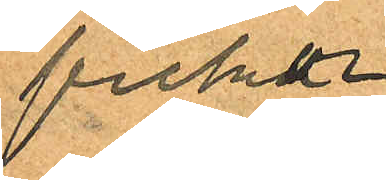fickor
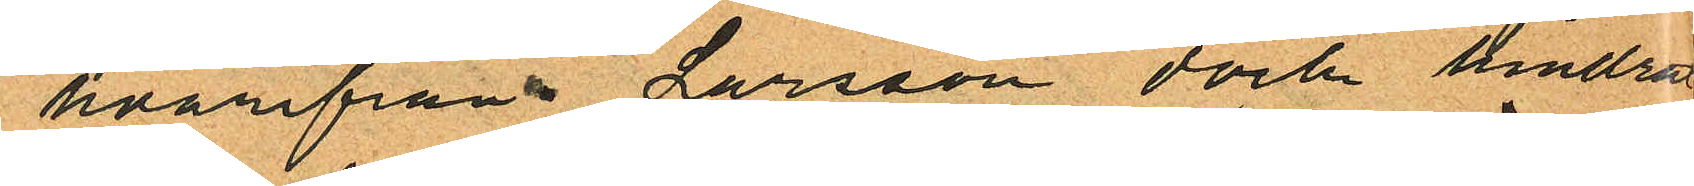hvarifrån Larsson dock hindrat
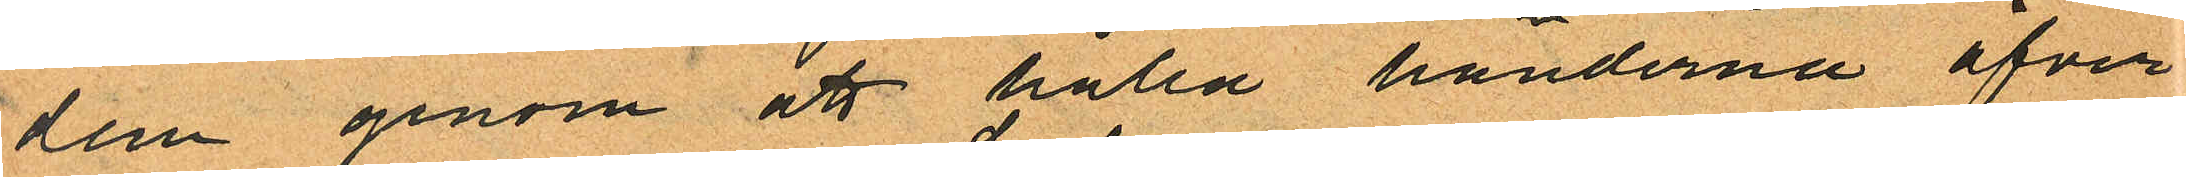dem genom att hålla händerna öfver
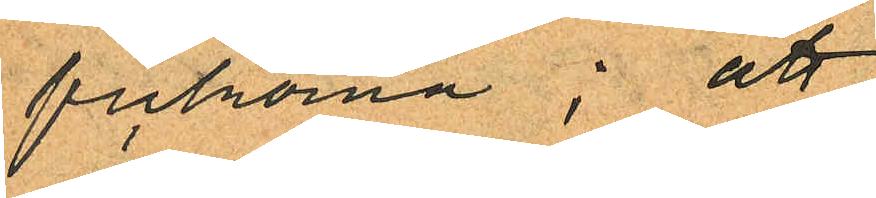fickorna; att
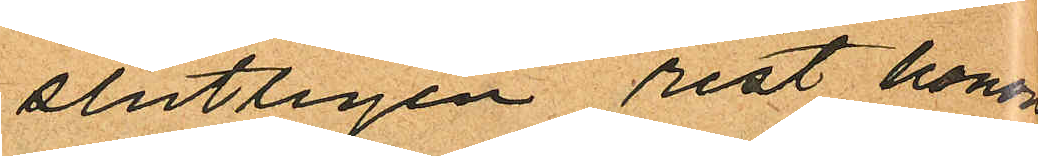slutligen rest honom
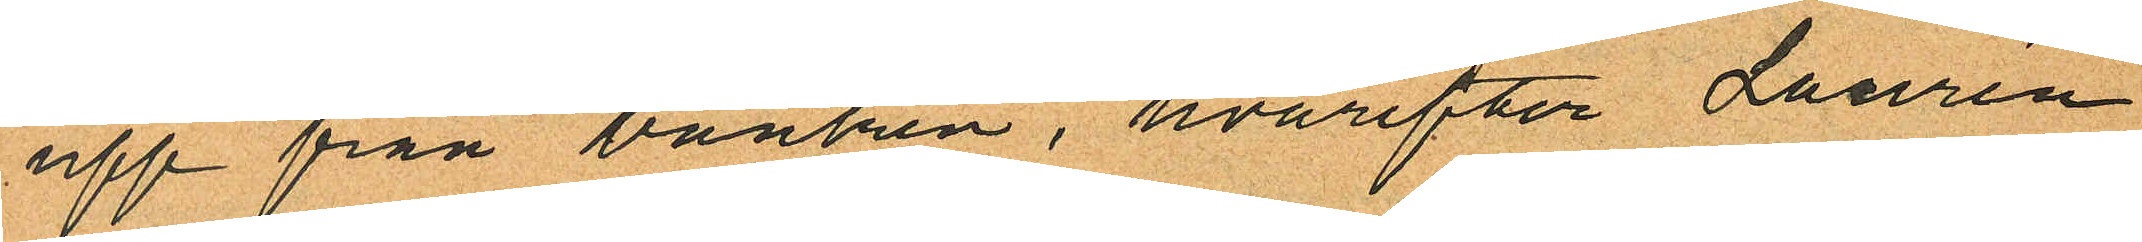upp från bänken, hvarefter Laurén
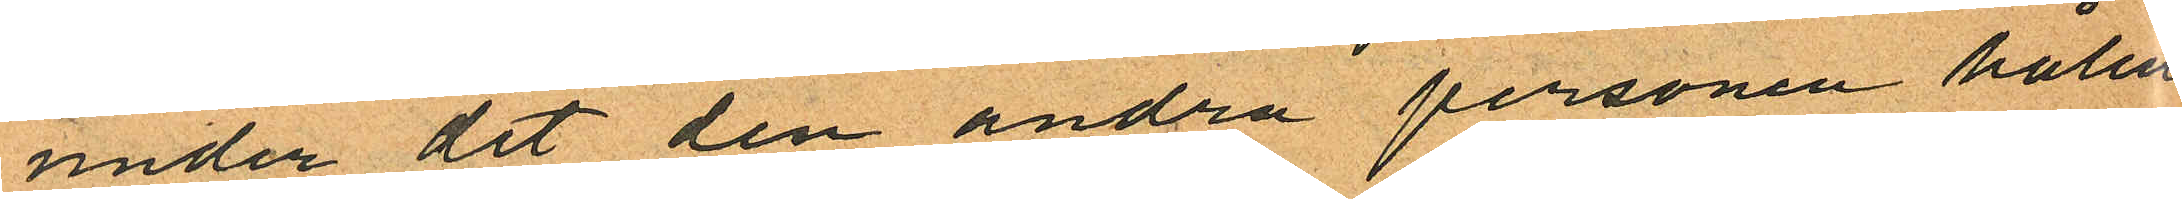under det den andra personen hållit
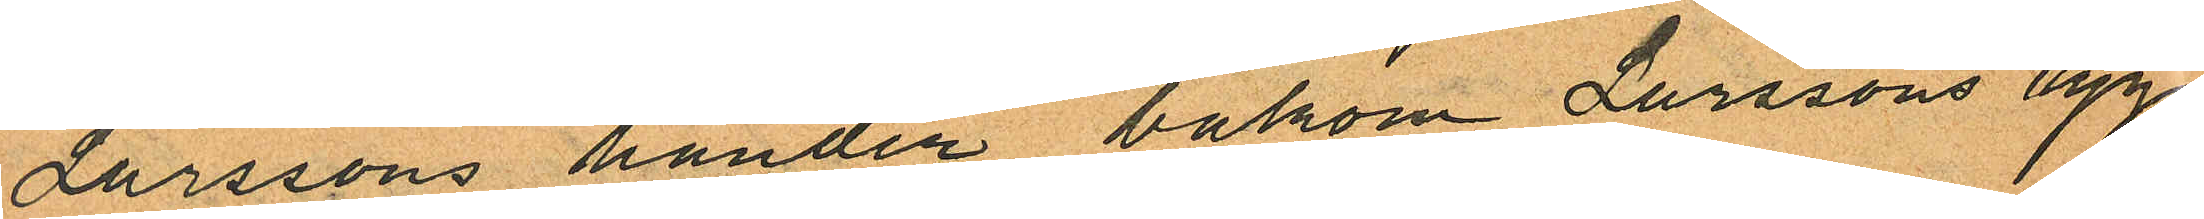Larssons händer bakom Larssons rygg
